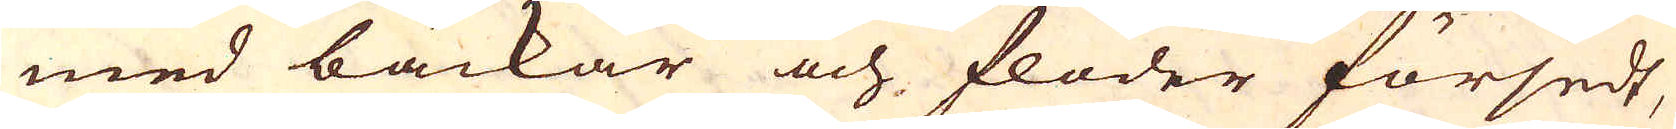med bäckar och floder försedt,
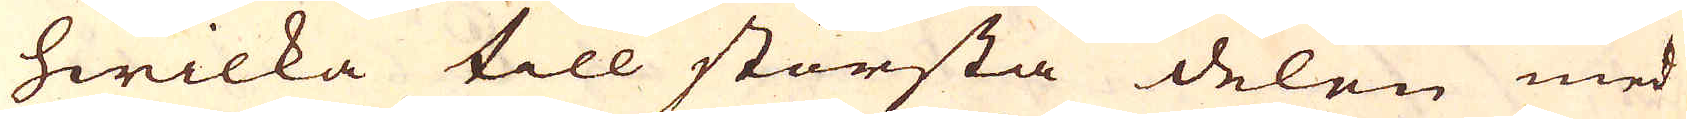hwilka till största delen med
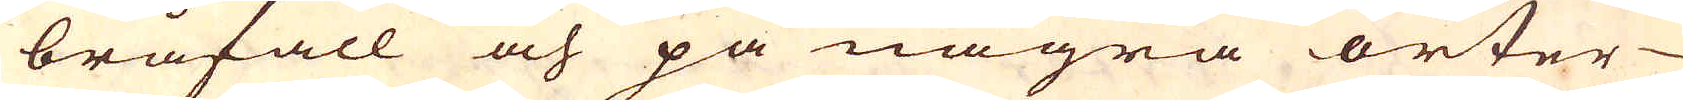bråfall och på några orter
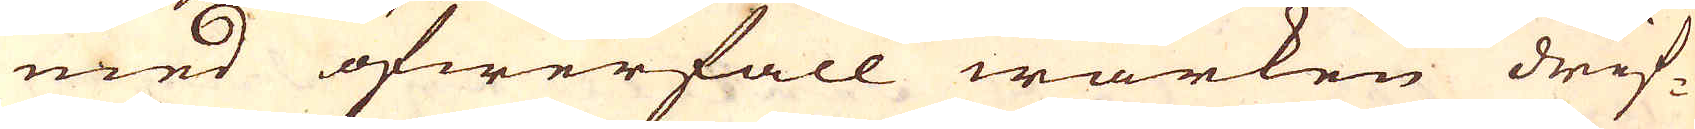med öfwerfall wärken drif-
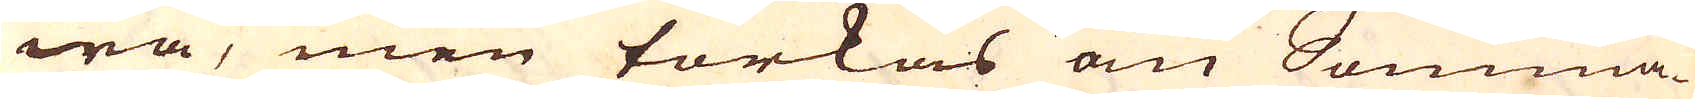wa, men torkas om Somma-
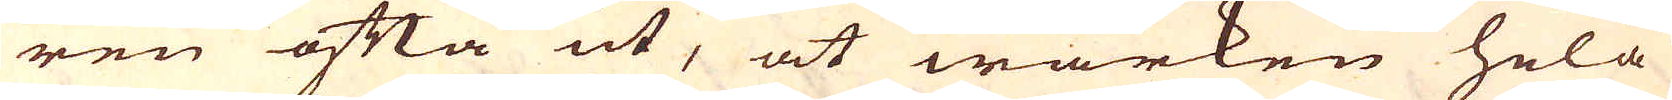ren ofta ut, at wärken hela
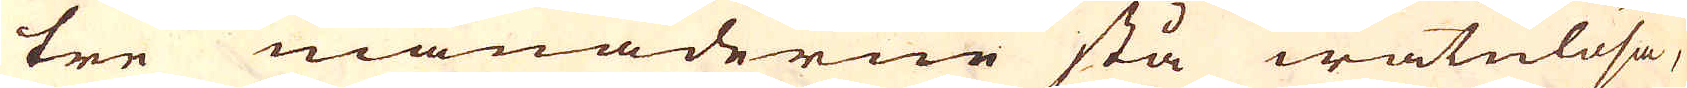tre månaderne stå watulösa,
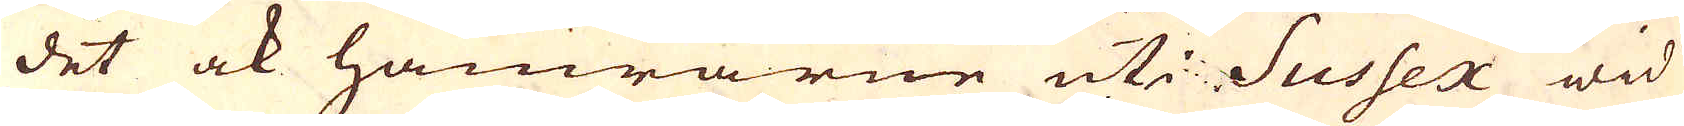det ock hamrarne uti Sussex wid
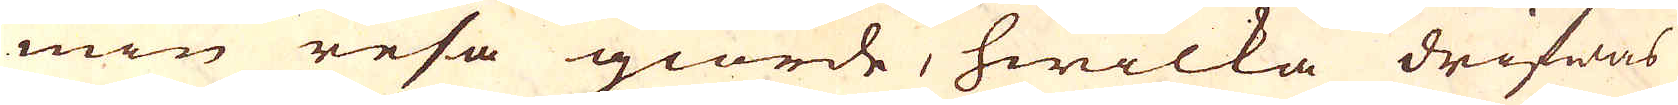min resa giorde, hwilka drifwas
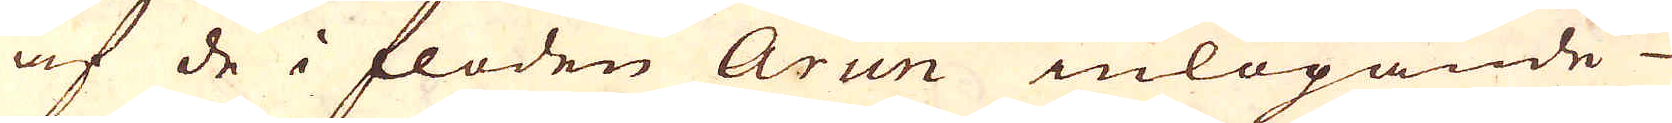af de i floden Arun inlöpande
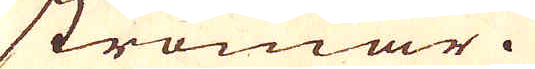strömar.
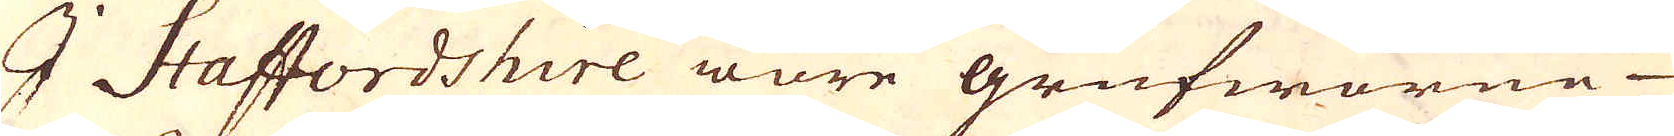I Staffordshire ware grufworne
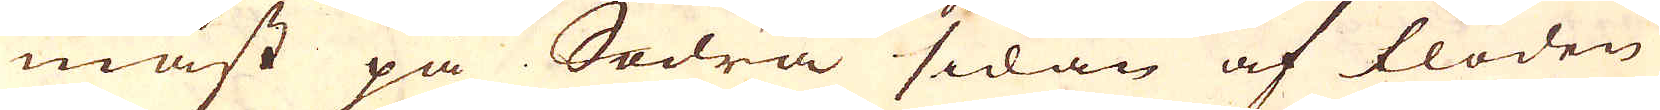mäst på Södra sidan af floden
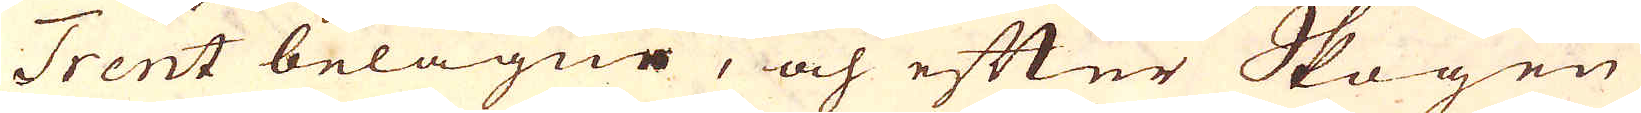Trent belägne, och efter Skogen
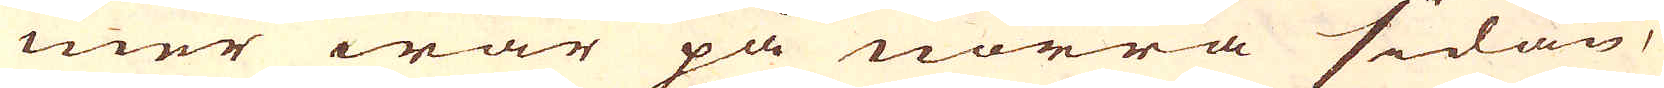mer war på norra sidan,
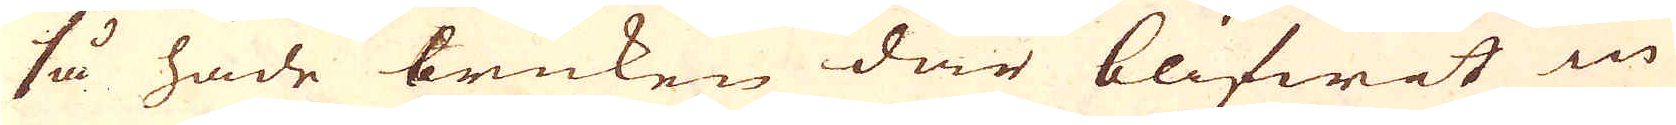så hade bruken där blifwit in
